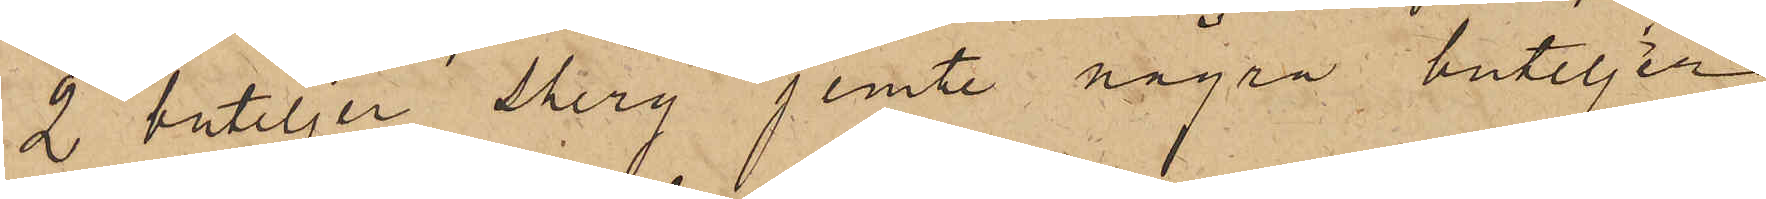2 buteljer Shery jemte några buteljer
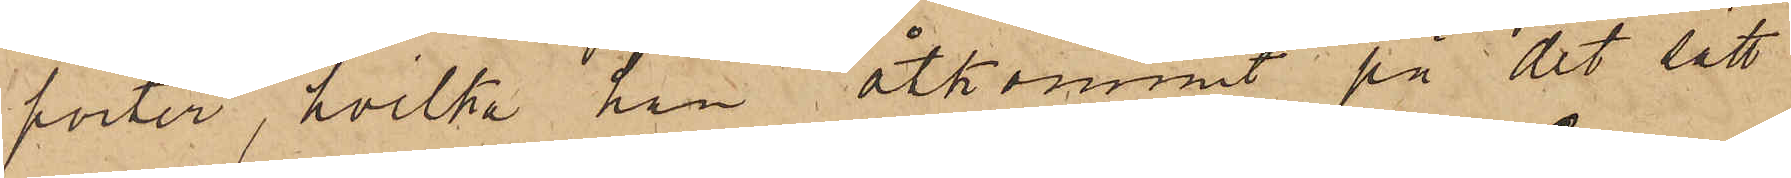porter, hvilka han åtkommit på det sätt
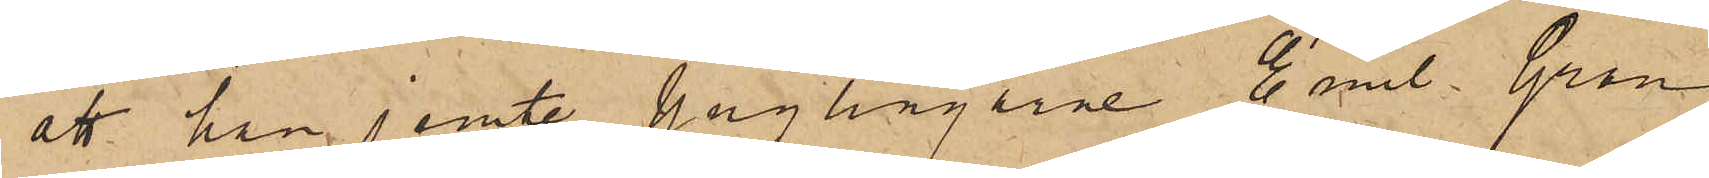att han jemte ynglingarne Emil Gran
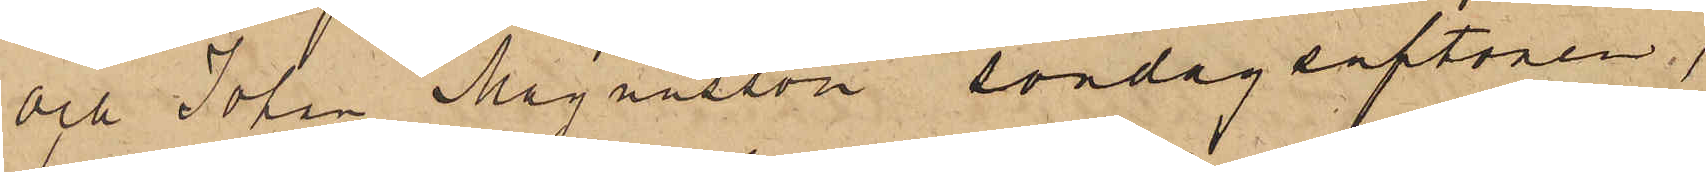och Johan Magnusson söndagsaftonen,
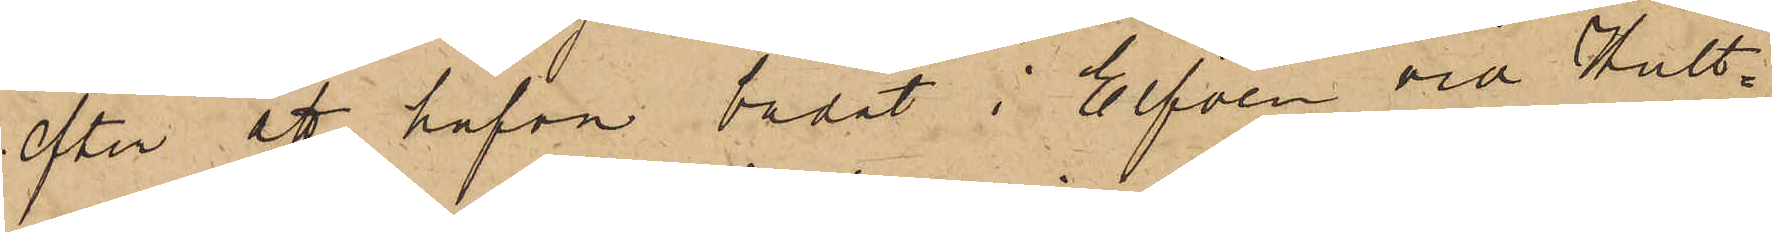efter att hafva badat i Elfven och Hult¬
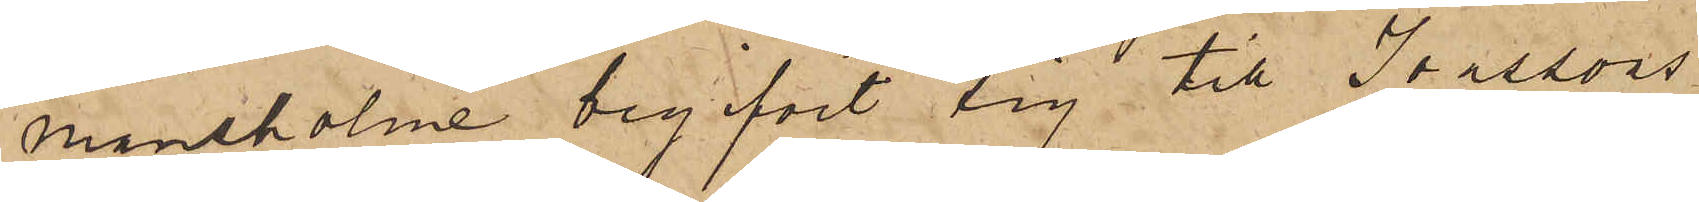mansholme begifvit sig till Jonssons
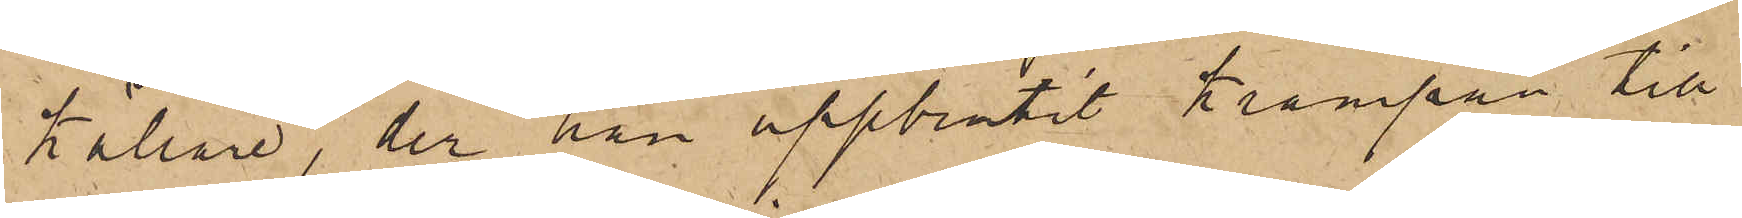källare, der han uppbrutit krampan till
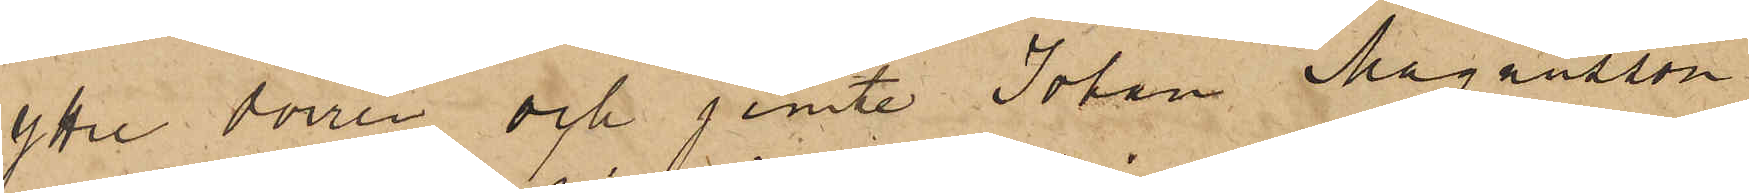yttre dörren och jemte Johan Magausson
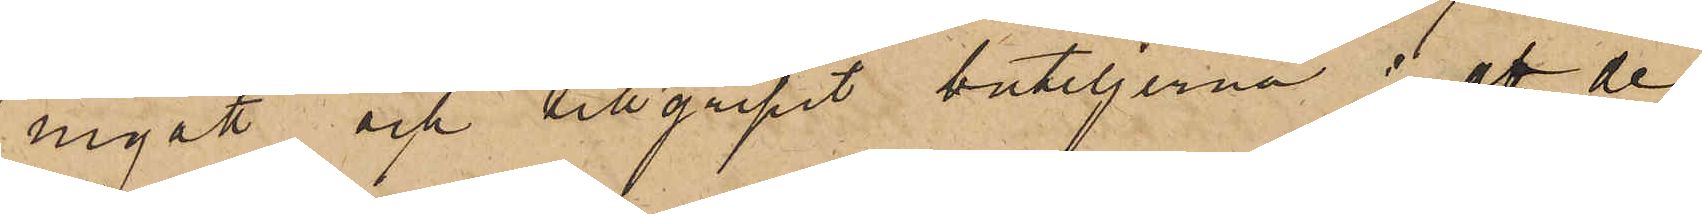ingått och tillgripit buteljerna; att de
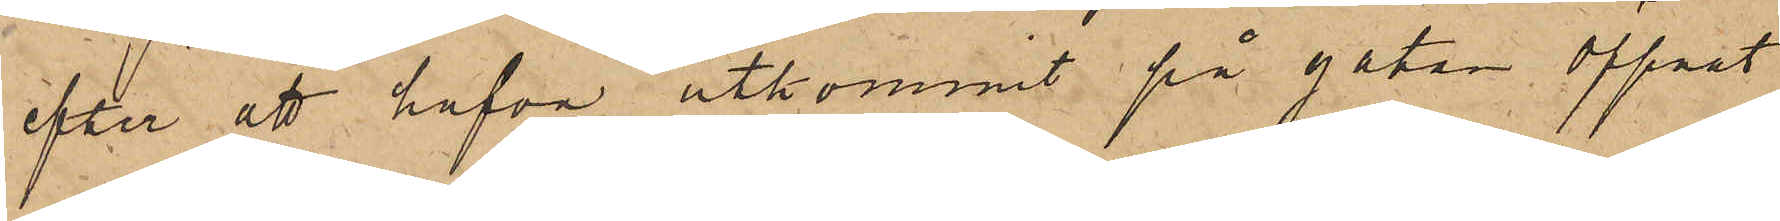efter att hafva utkommit på gatan öppat
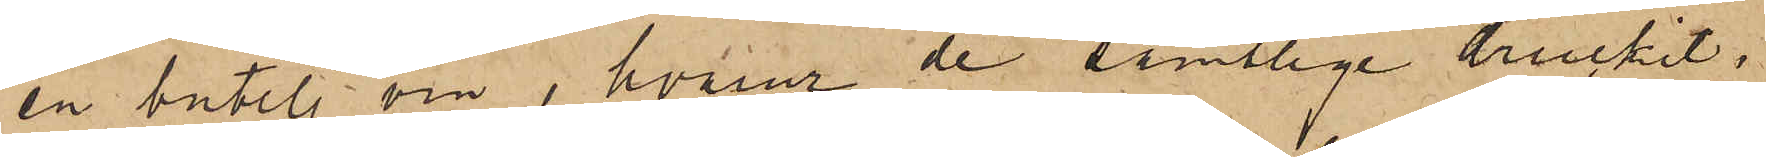en butelj vin, hvarur de samtlige druckit;
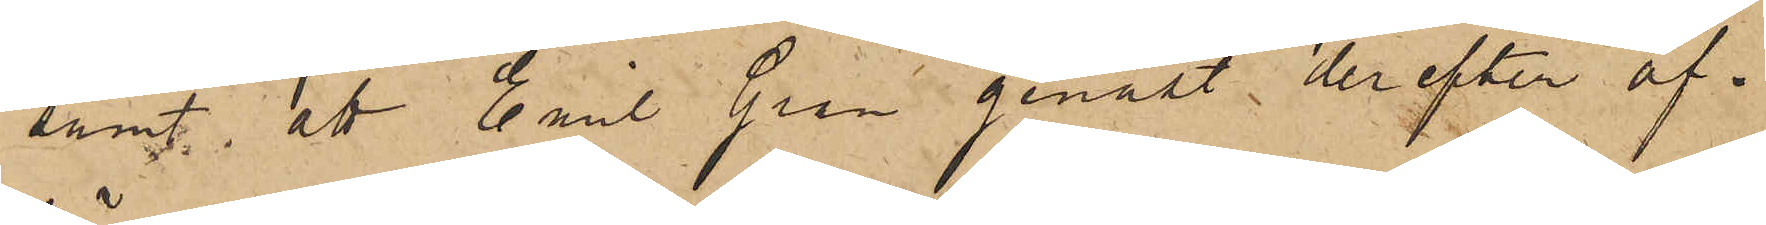samt, att Carl Gran genast derefter af¬
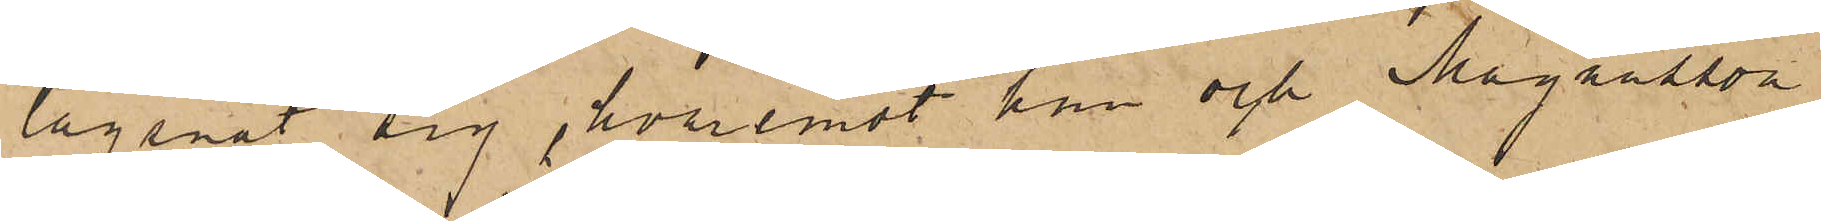lägsnat sig, hvaremot han och Magnusson
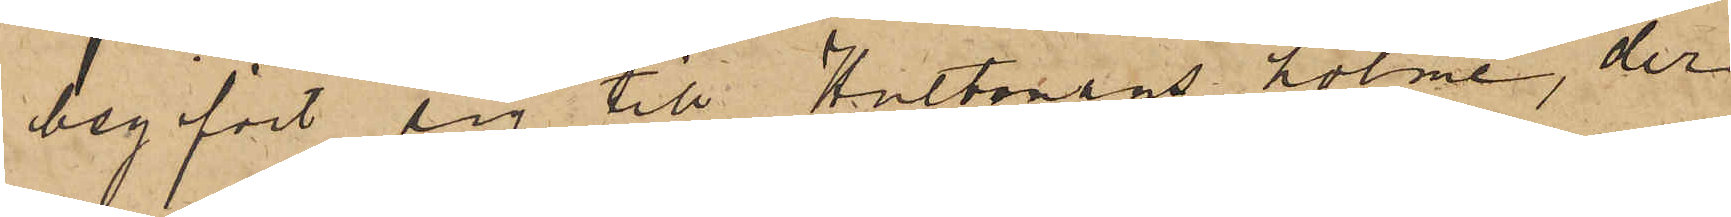begifvit sig till Hultmans holme, der
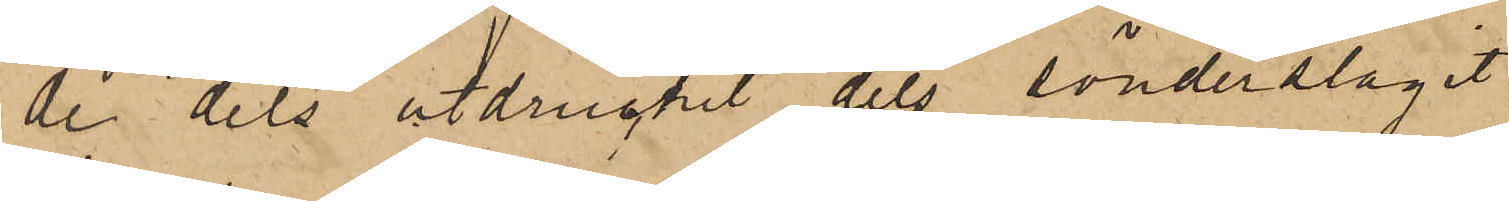de dels utdruckit dels sönderslagit
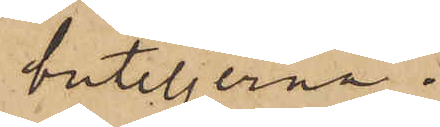buteljerna.
